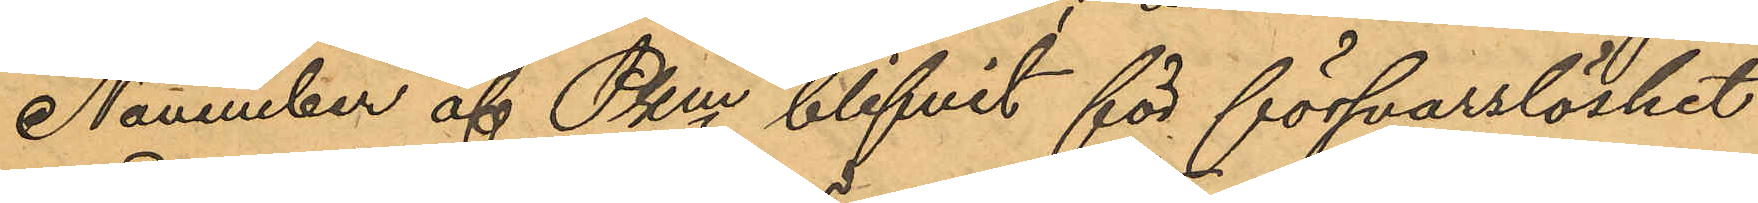November af Pkm blifvit för försvarslöshet
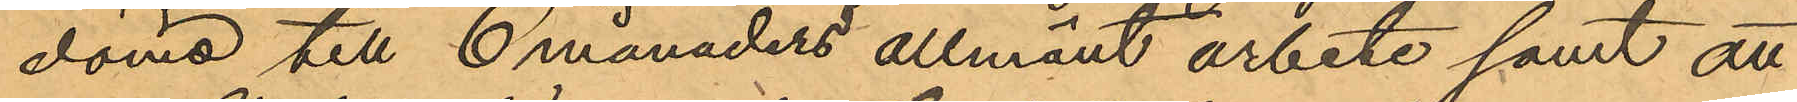dömd till 6 månaders allmänt arbete samt att
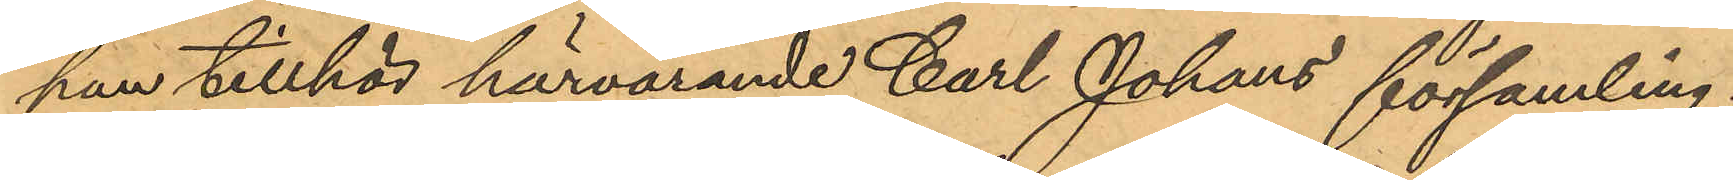han tillhör härvarande Carl Johans församling.
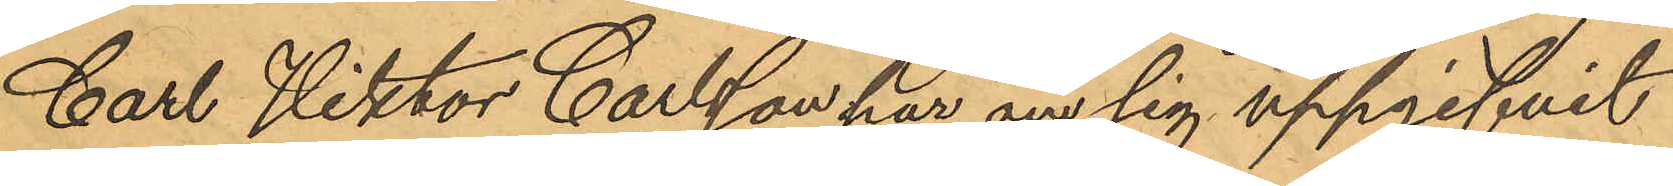Carl Viktor Carlsson har om sig uppgifvit
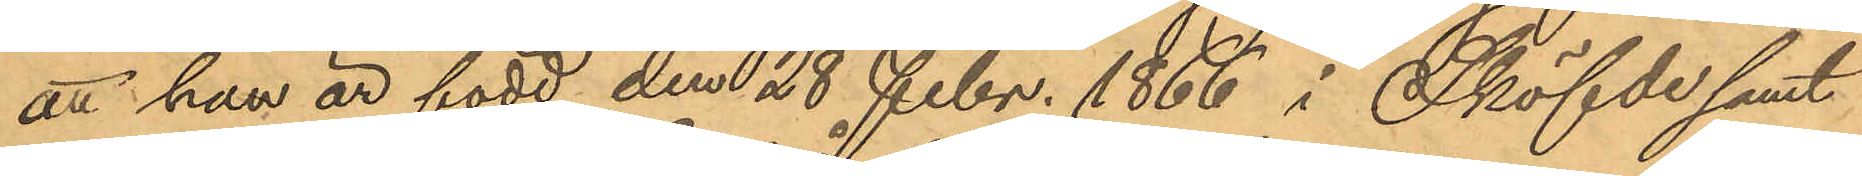att han är född den 28 Febr. 1866 i Sköfde samt
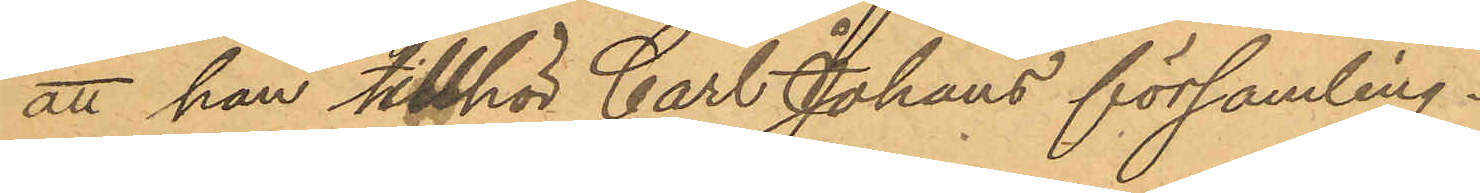att han tillhör Carl Johans församling.
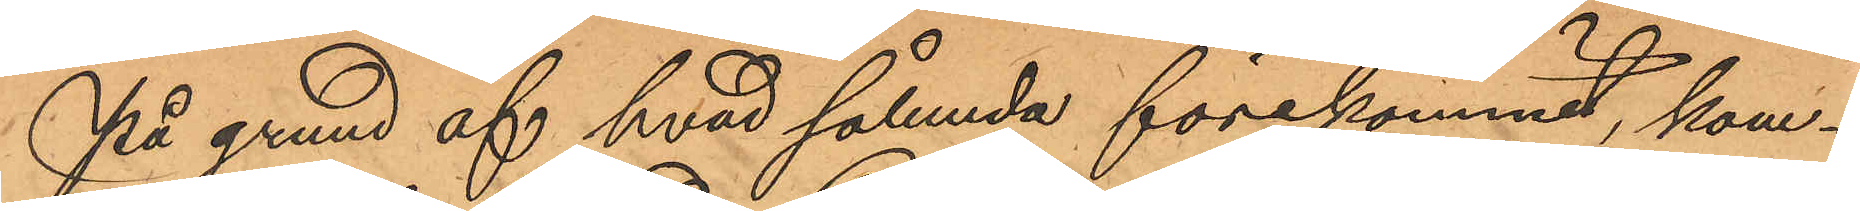På grund af hvad sålunda förekommit, kom¬
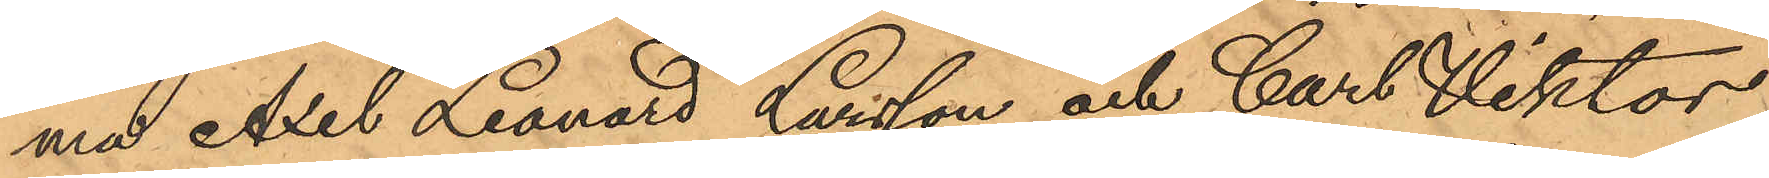ma Axel Leonard Larsson och Carl Viktor
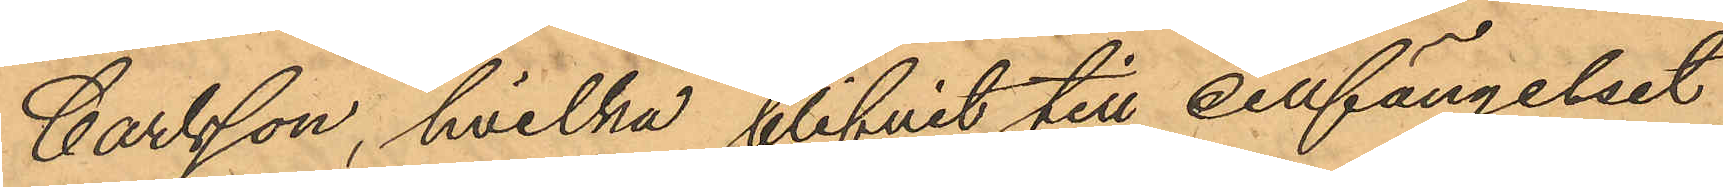Carlsson, hvilka blifvit till cellfängelset
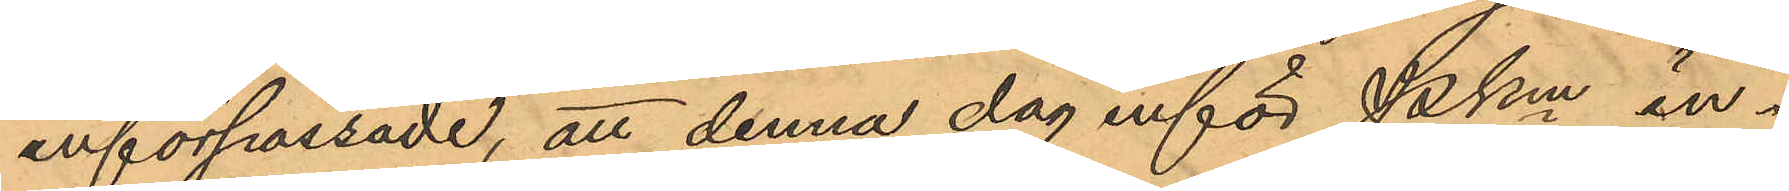införpassade, att denna dag inför Pkm in¬
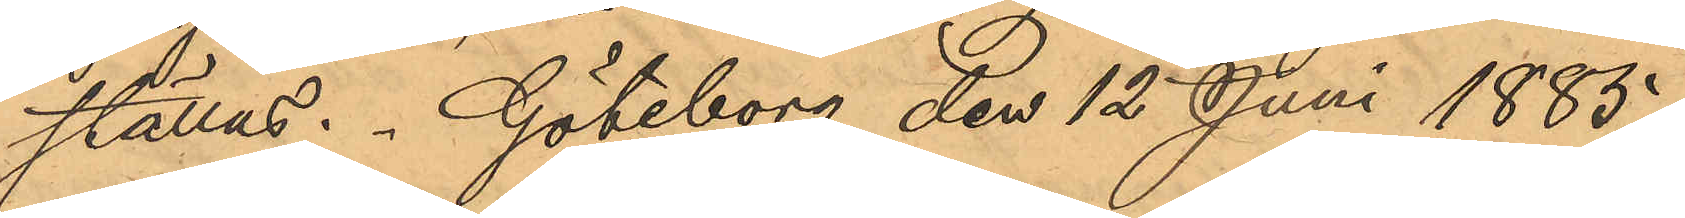ställas. Göteborg den 12 Juni 1885.
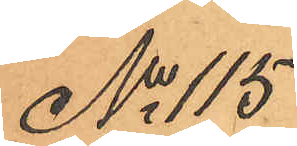No 115
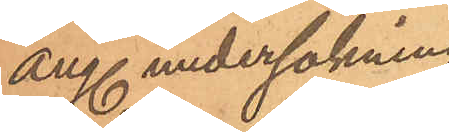ang. undersökning
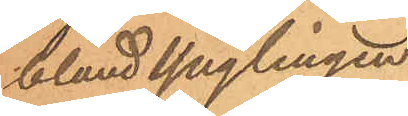bland ynglingen
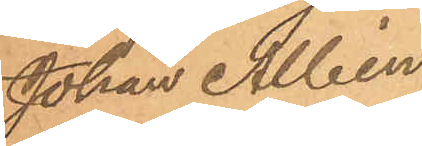Johan Albin
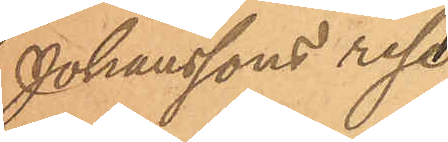Johanssons rese¬
